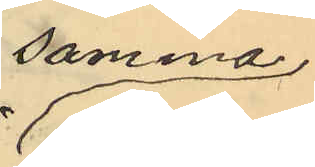samma
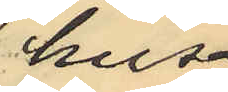hus.
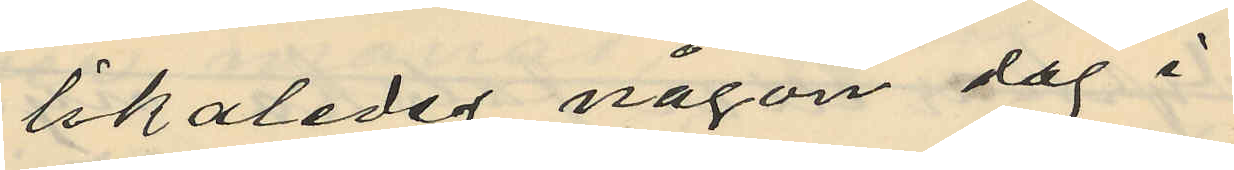likaledes någon dag i
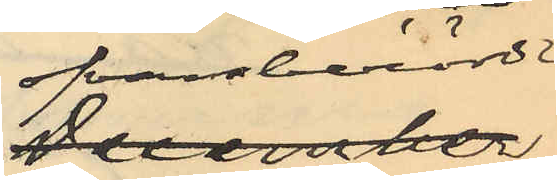ofvannämnde
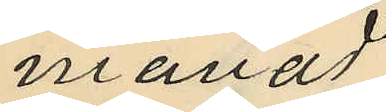månad
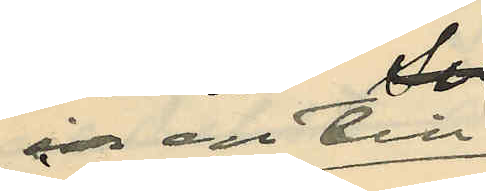en till
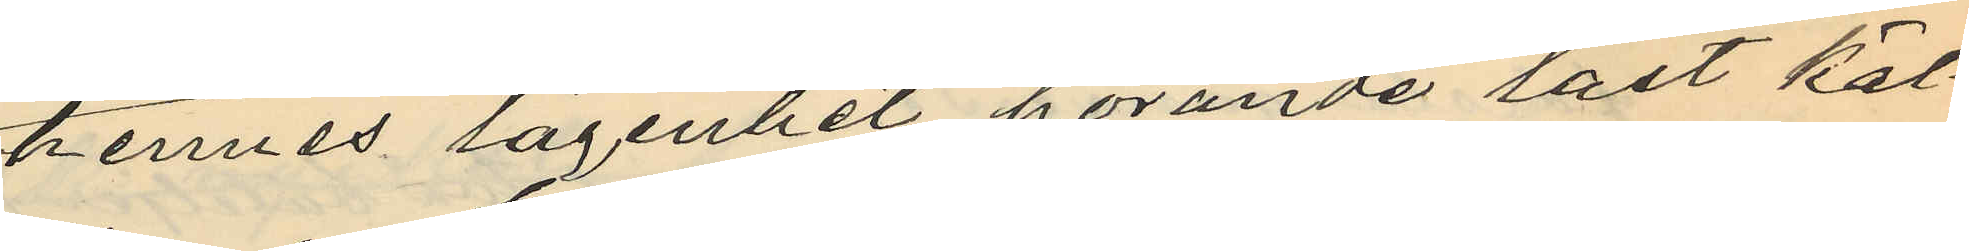hennes lägenhet hörande låst käl¬
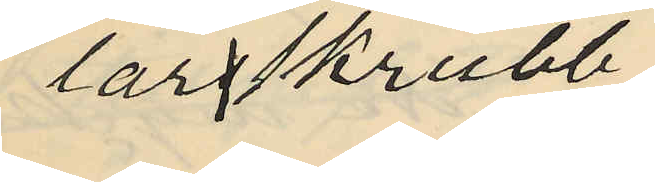larsskrubb
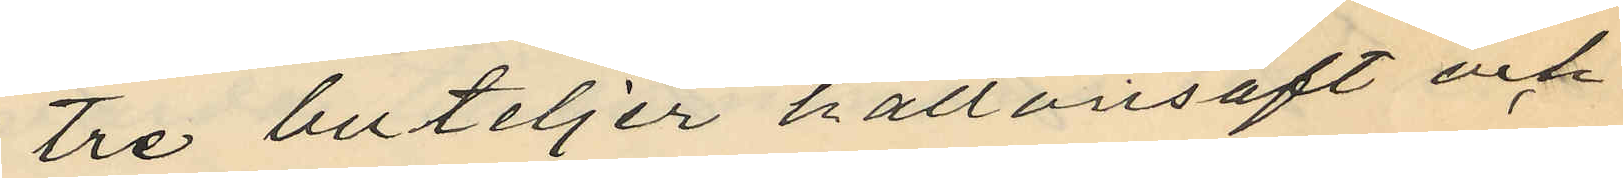tre buteljer hallonsaft och
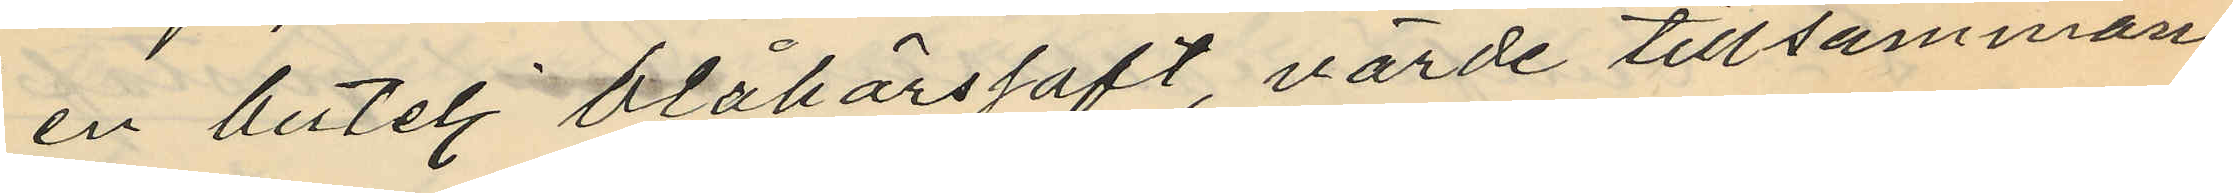en butelj blåbärssaft, värde tillsammans
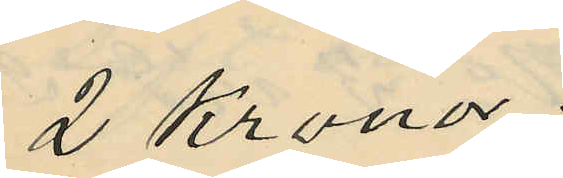2 Kronor.
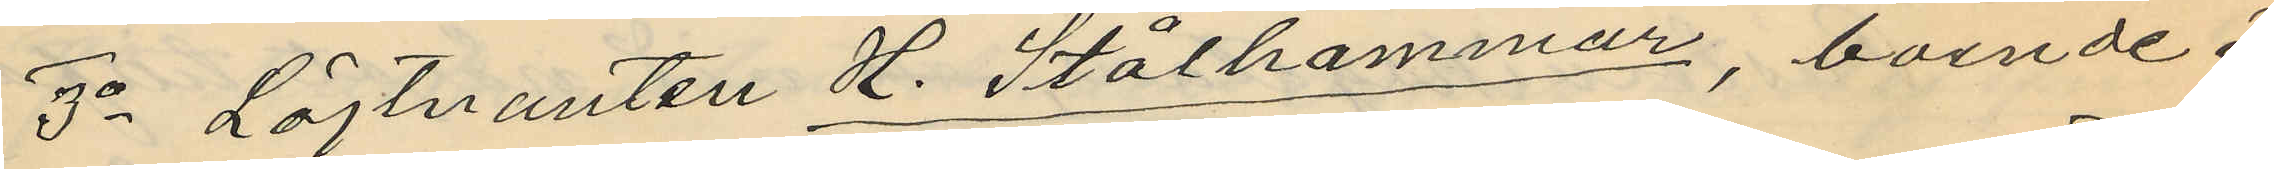3o Löjtnanten H. Stålhammar, boende i
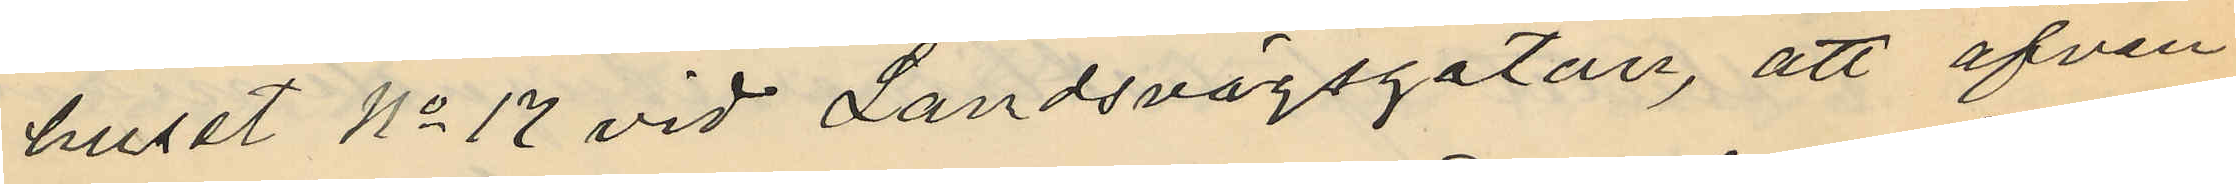huset No 17 vid Landsvägsgatan, att äfven
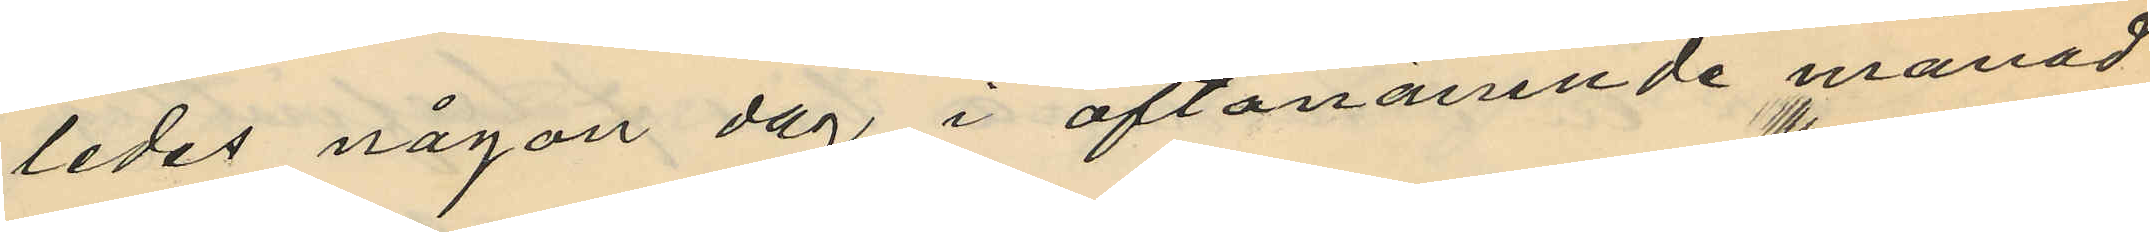ledes någon dag i oftanämnde månad
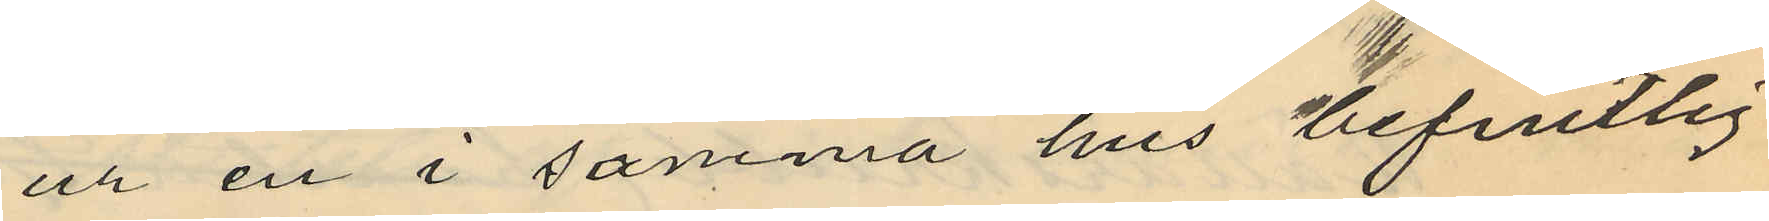ur en i samma hus befintlig
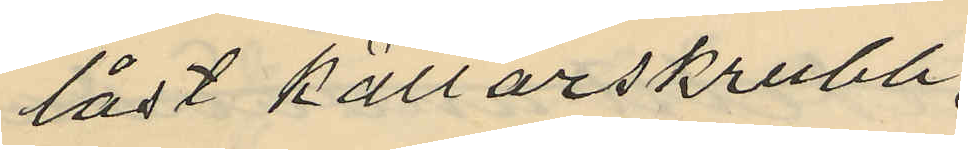låst källarskrubb,
